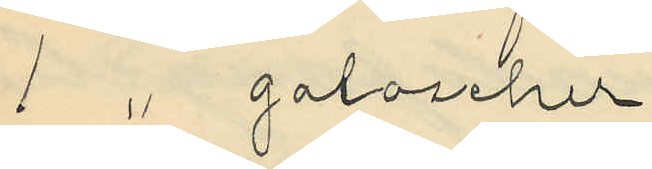1 " galoscher
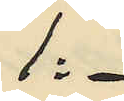1:-
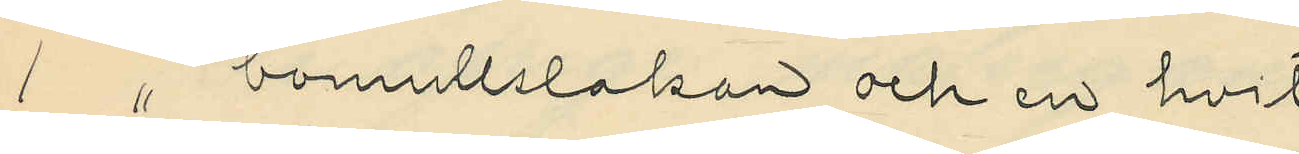1 " bomullslakan och en hvit
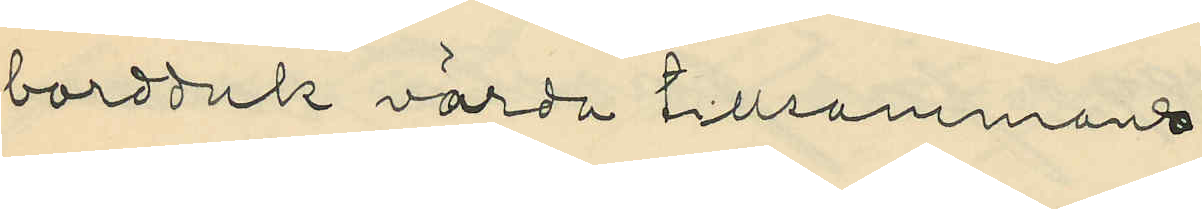bordduk värda tillsammans
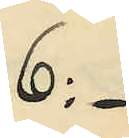6:-
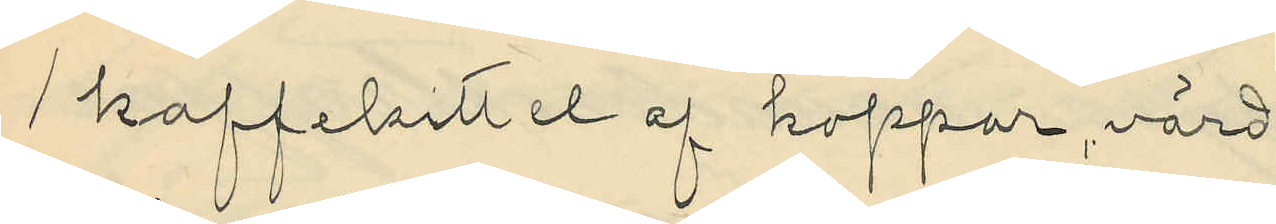1 kaffekittel af koppar, värd
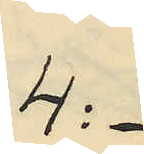4:-
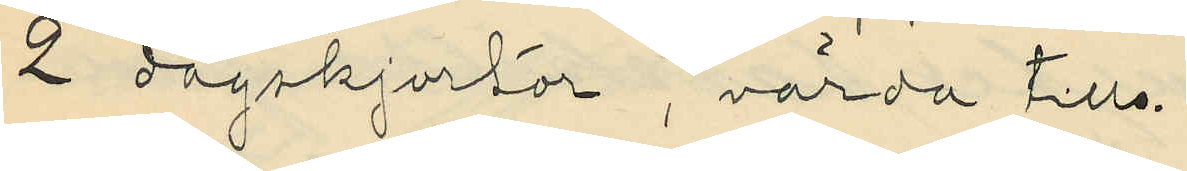2 dagskjortor, värda tills.
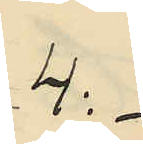4:-
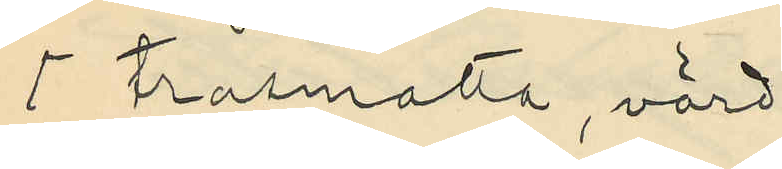1 trasmatta, värd
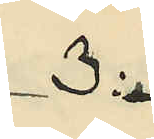3 :-
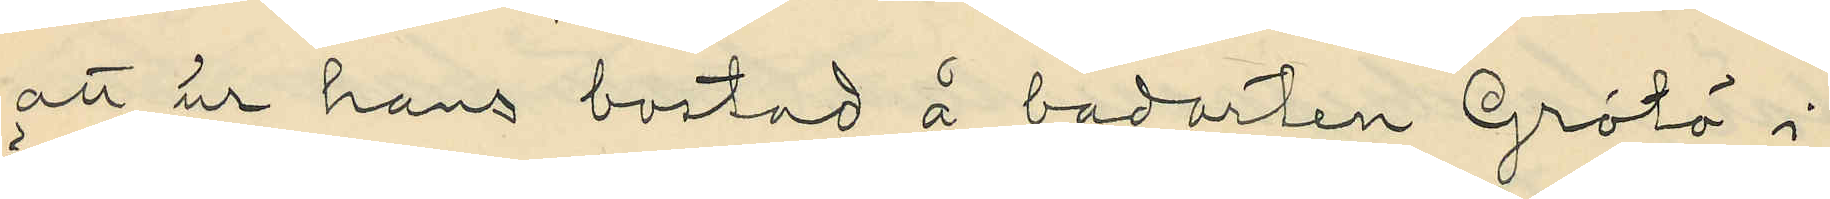att ur hans bostad å badorten Grötö i
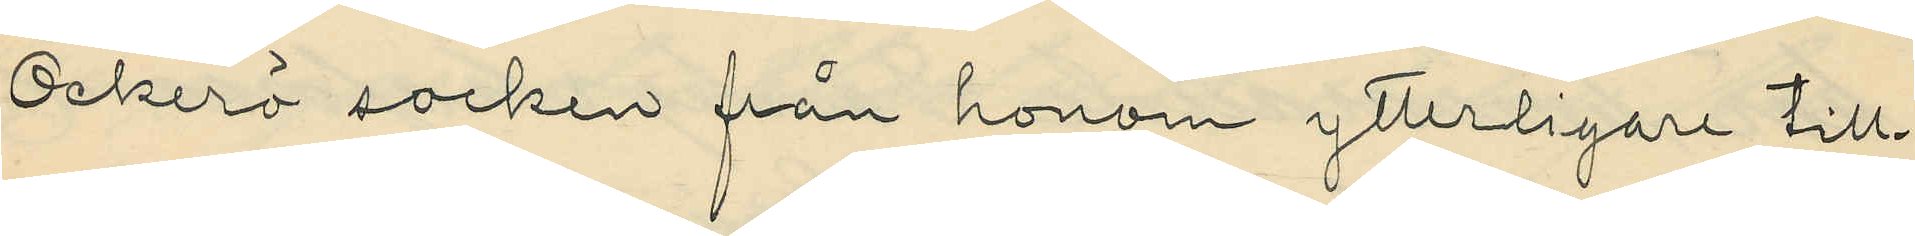Öckerö socken från honom ytterligare till¬
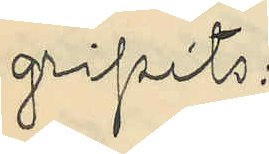gripits:
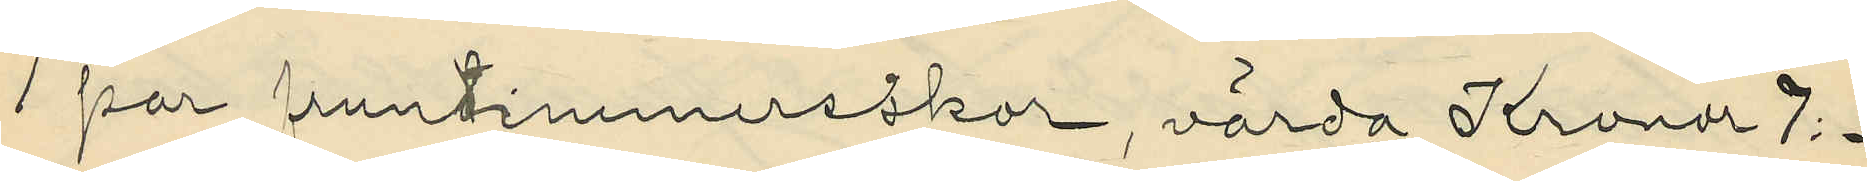1 par fruntimmersskor, värda Kronor 7:-
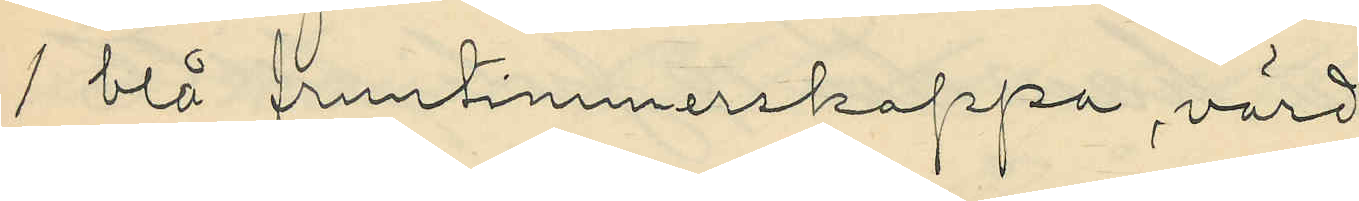1 blå fruntimmerskappa, värd
